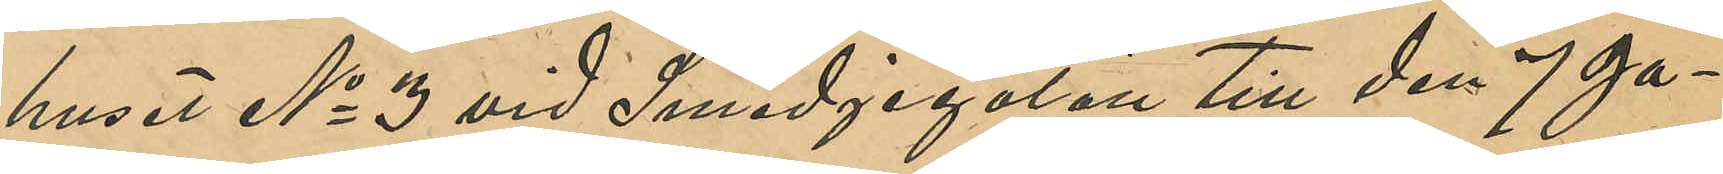huset No 3 vid Smedjegatan till den 7 Ja¬
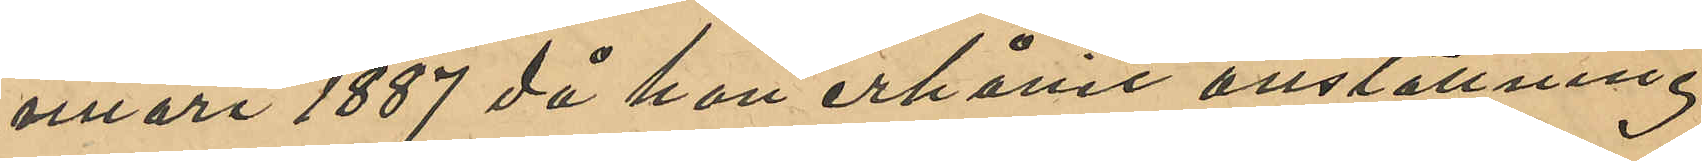nuari 1887 då hon erhållit anställning
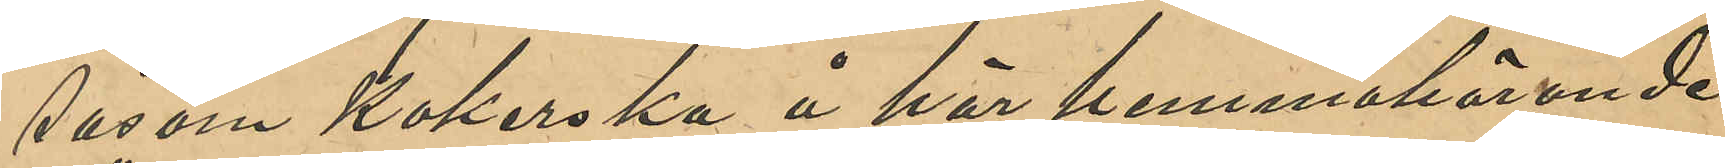såsom Kokerska å här hemmahörande
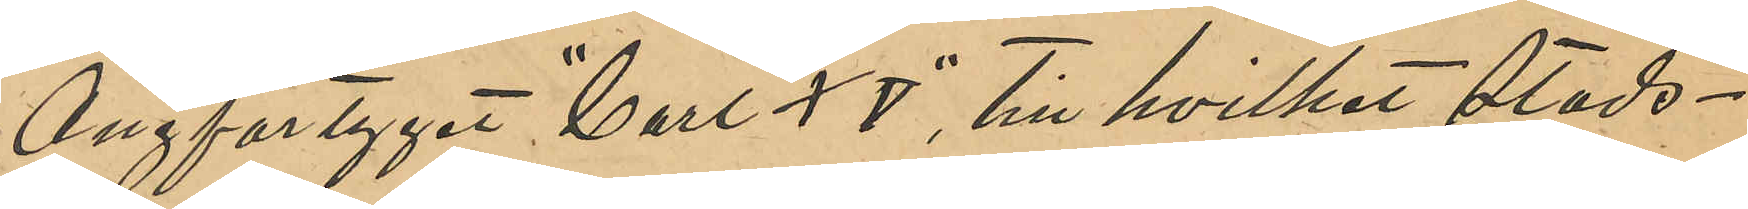Ångfartyget "Carl XV", till hvilket Stads¬
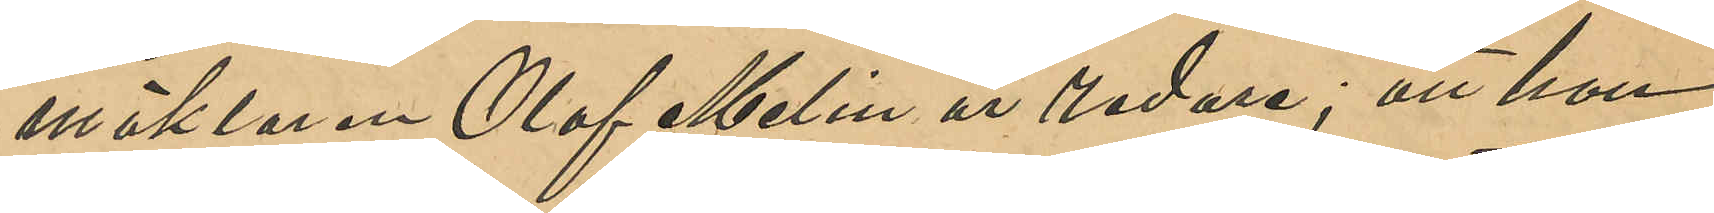mäklaren Olof Melin är redare; att hon
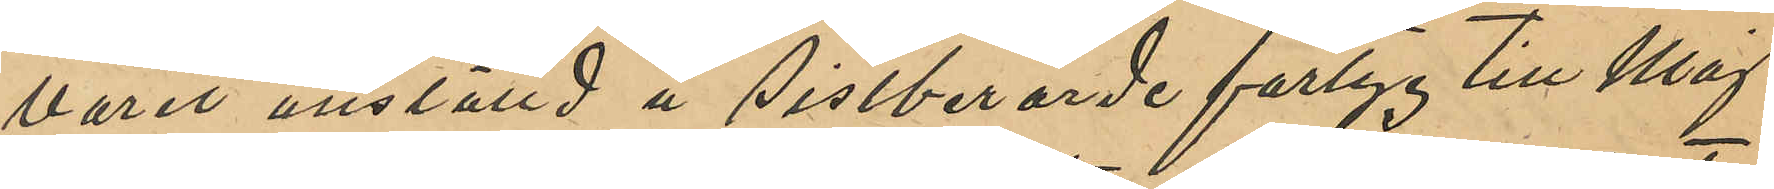varit anställd å sistberörde fartyg till Maj
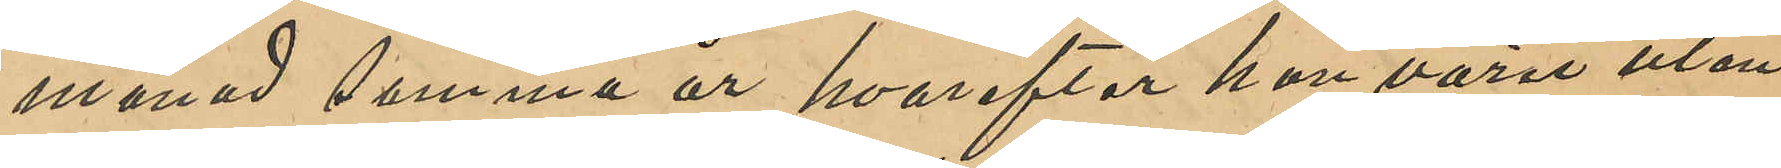månad samma år, hvarefter hon varit utan
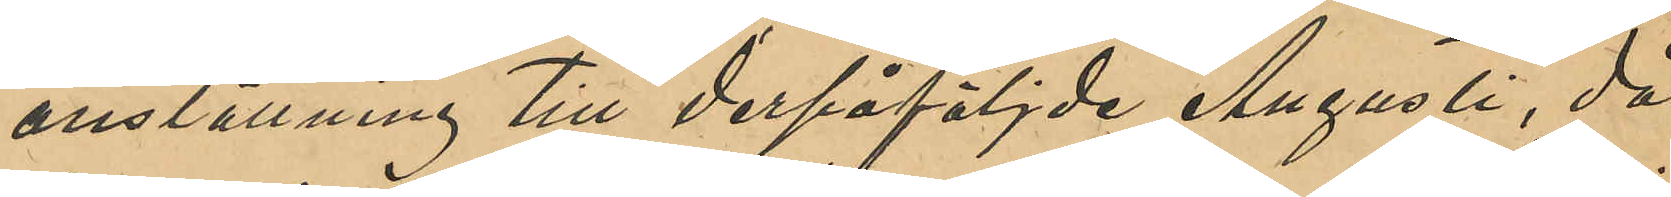anställning till derpåföljde Augusti, då
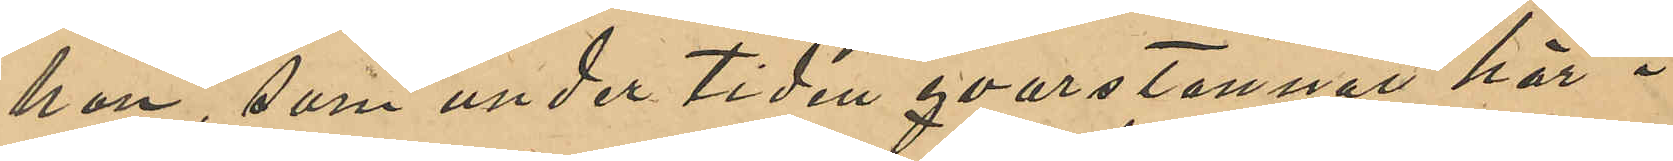hon, som under tiden qvarstannat här i
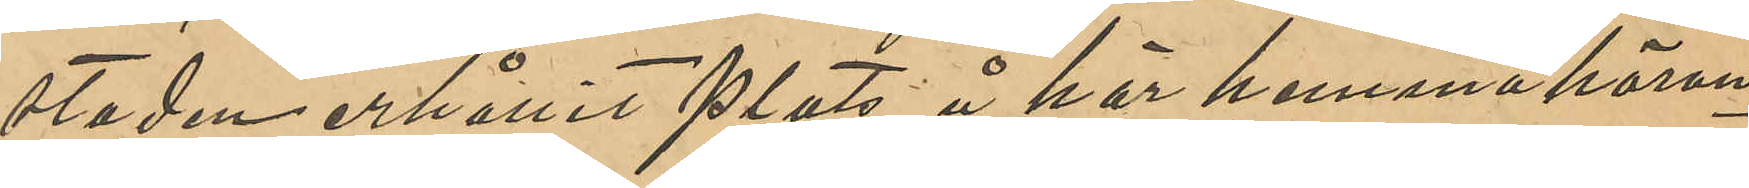staden, erhållit plats å här hemmahöran¬
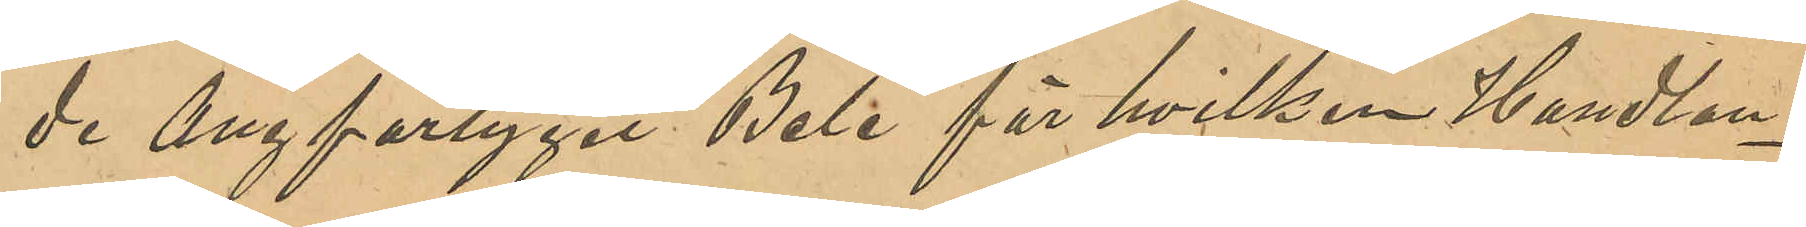de Ångfartyget "Bele" för hvilken Handlan¬
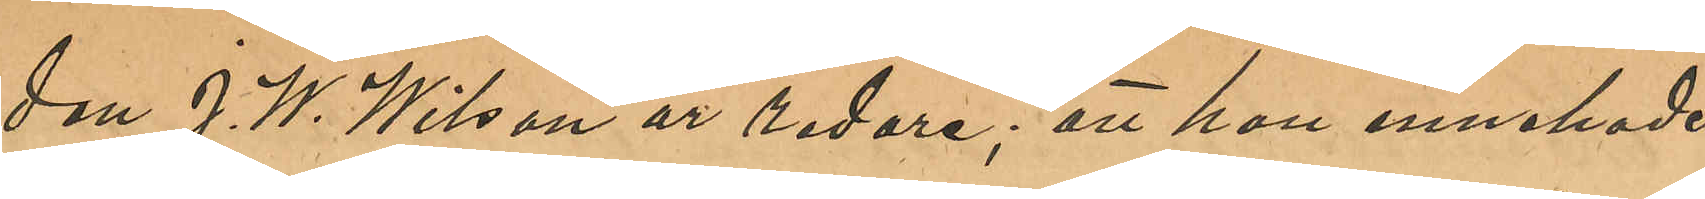den J. W. Wilson är redare, att hon innehade
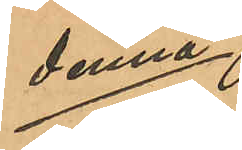denna
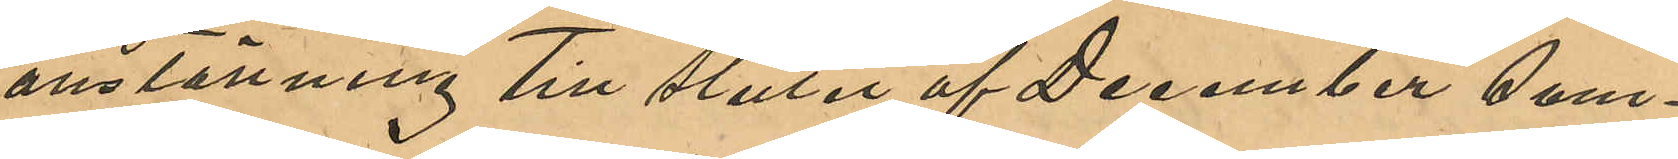anställning till slutet af December sam¬
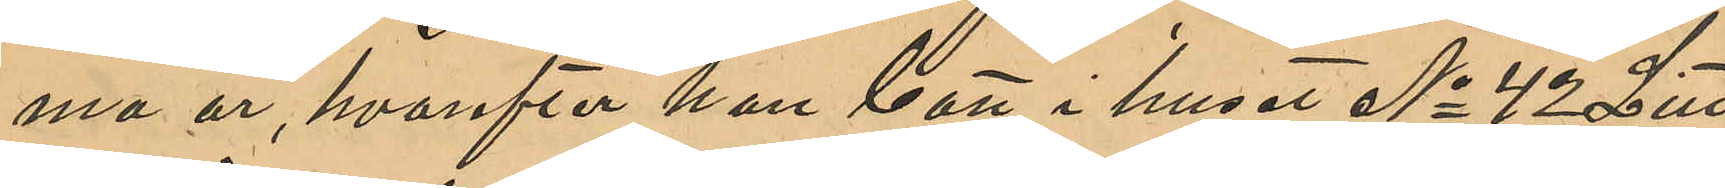ma år, hvarefter hon bott i huset No 42 Litt.
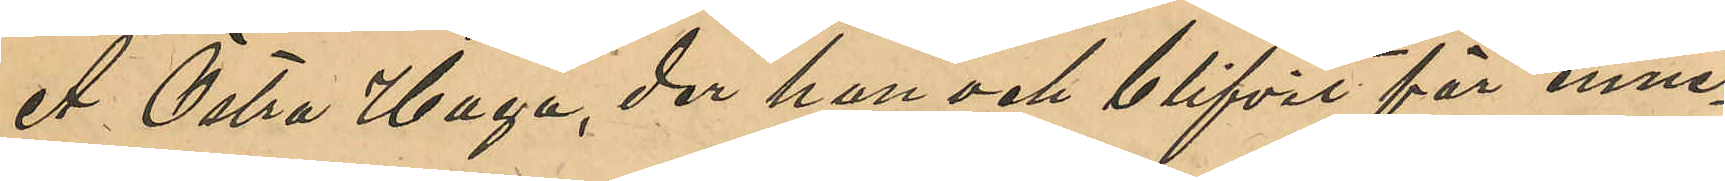A Östra Haga, der hon och blifvit för inne¬
